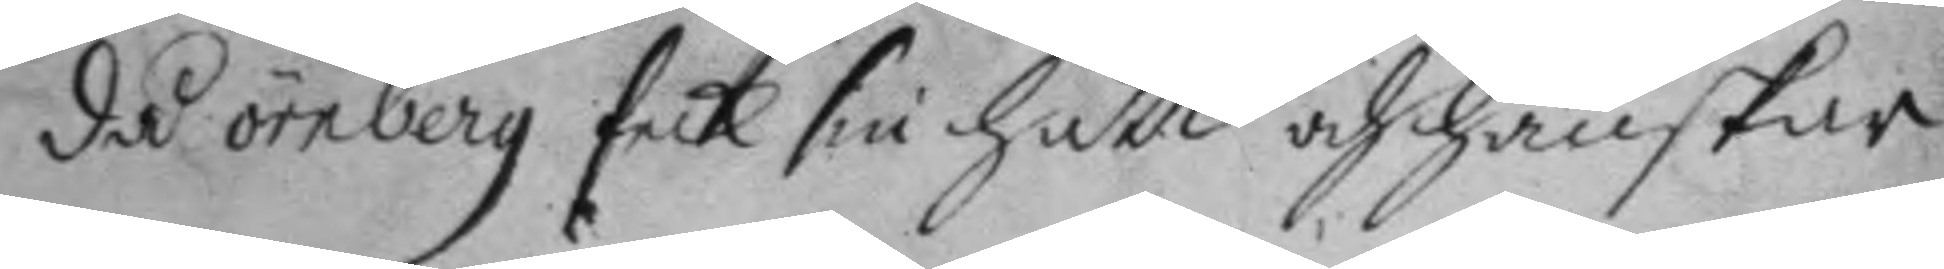då örnberg fick sin hatt och hanskar
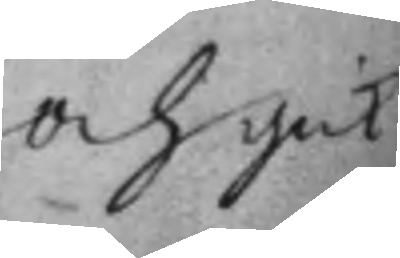och gick
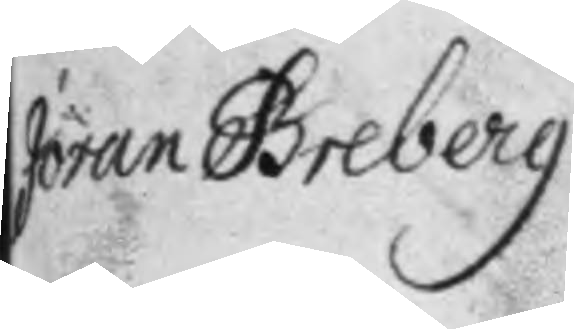Jöran Greberg
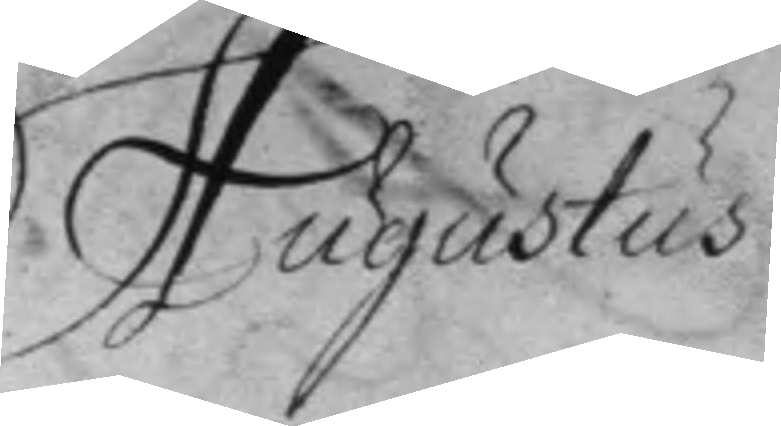Augustus
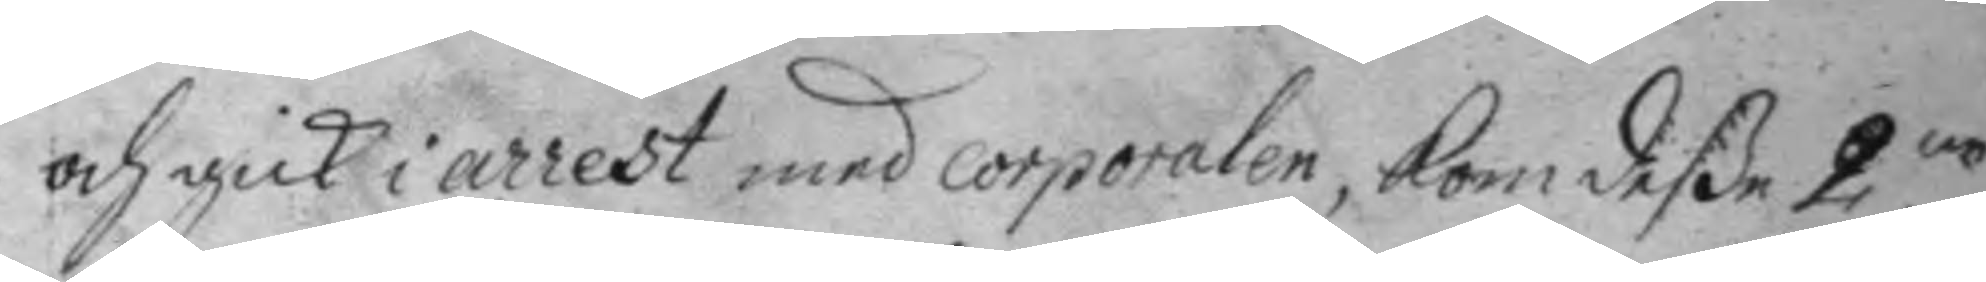och gick i arrest med corporalen, kom deße 2ne
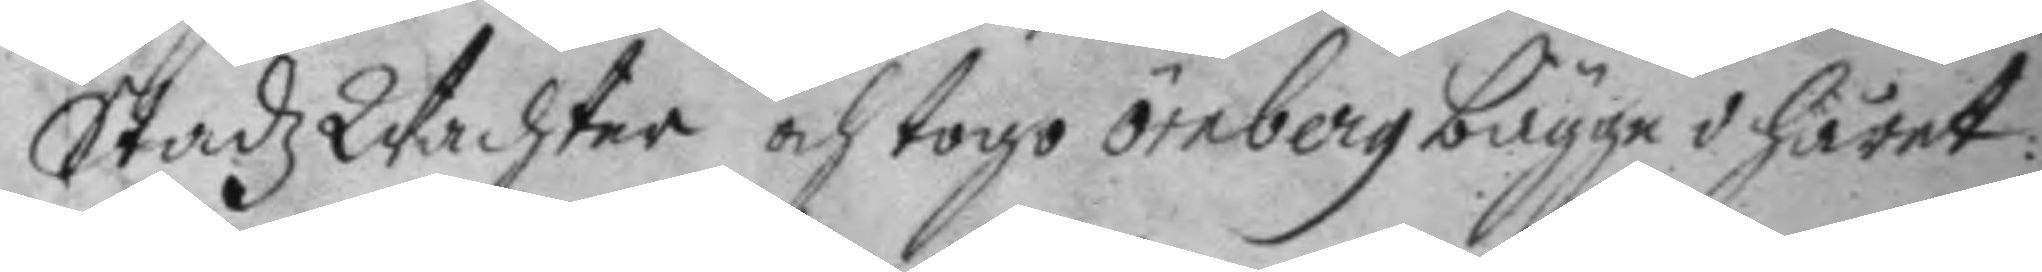StadzWachter och togo örnberg bägge i håret:
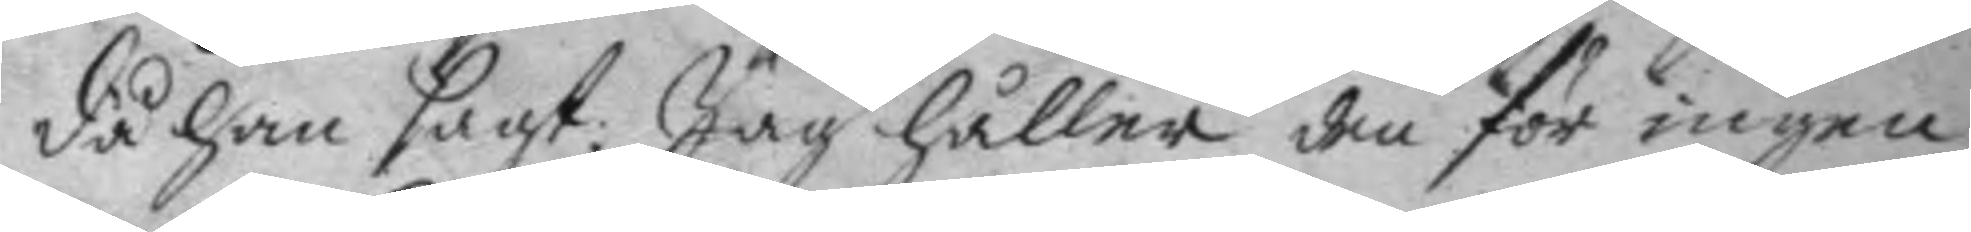då han sagt: Jag håller den för ingen
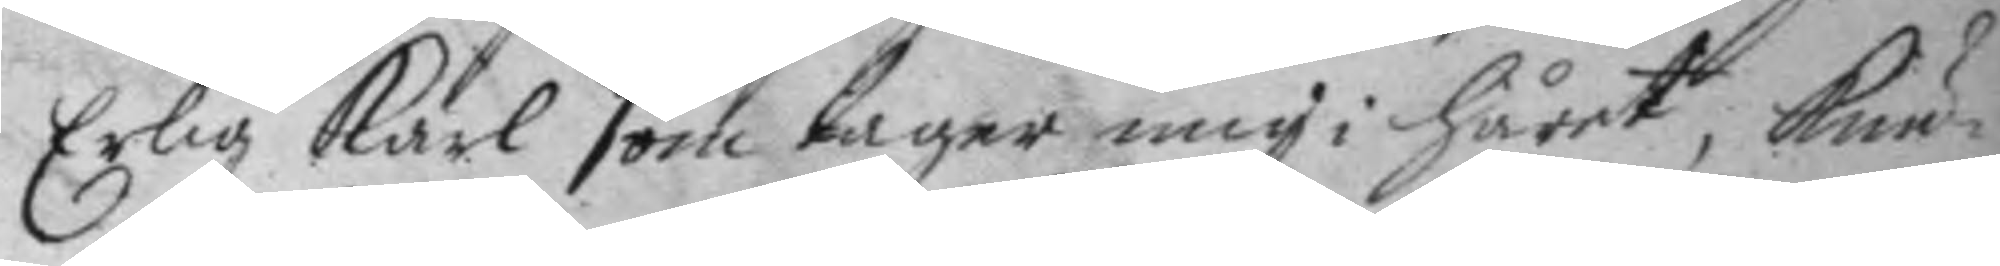Erlig karl som tager mig i håret, kun¬
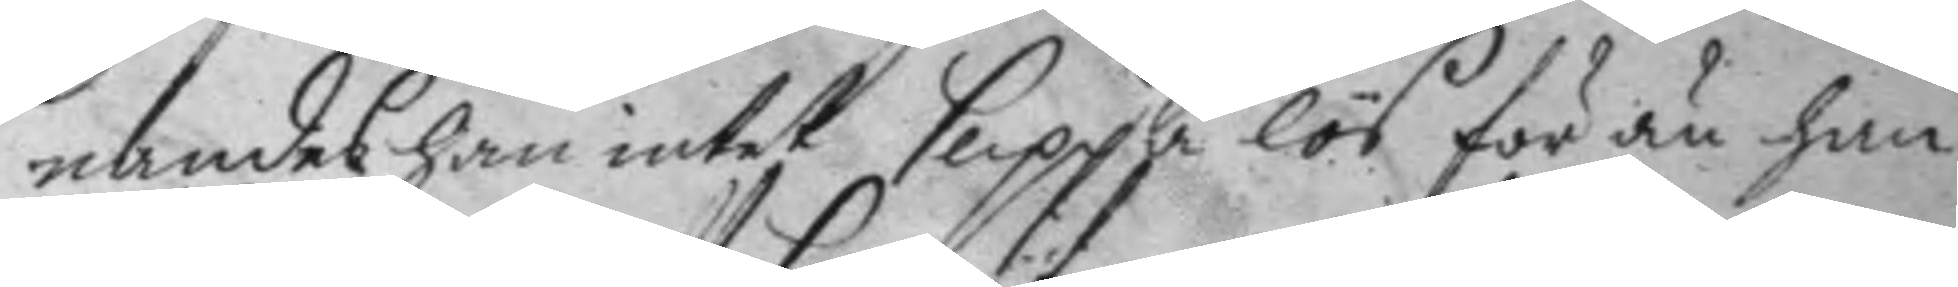nandes han intet slippa lös för än han
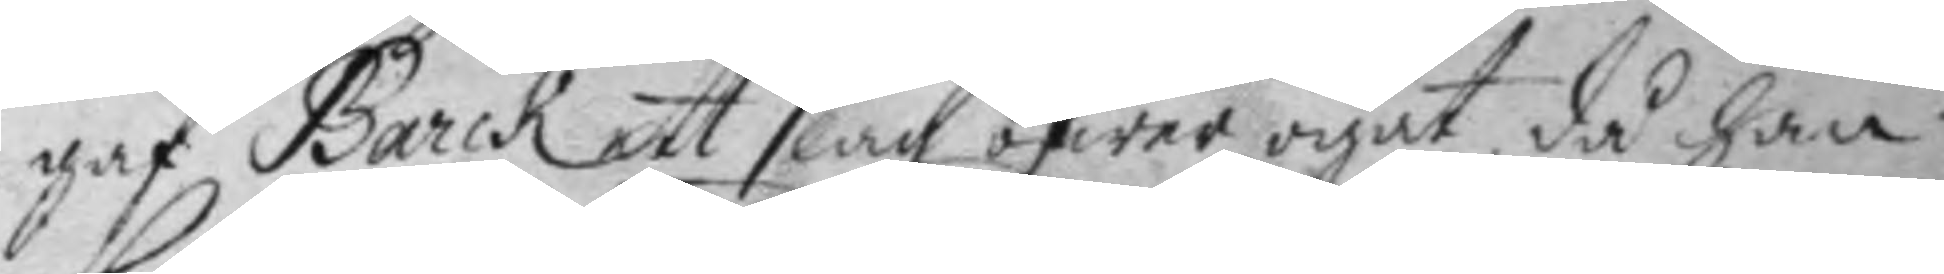gaf Barck ett slag öfwer ögat, då han
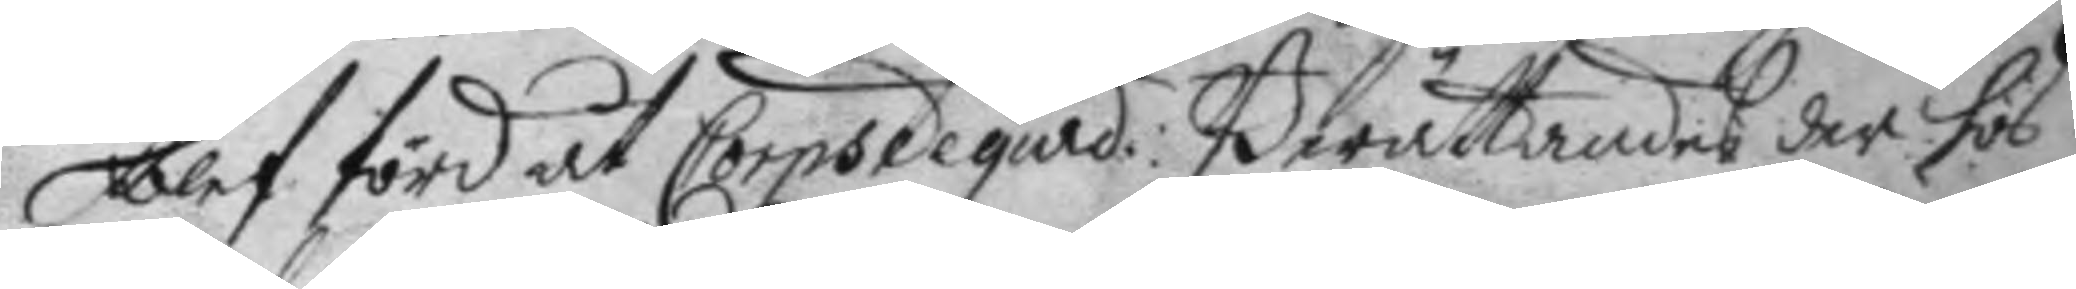blef förd åt Corpsdegard: Berättandes der hos
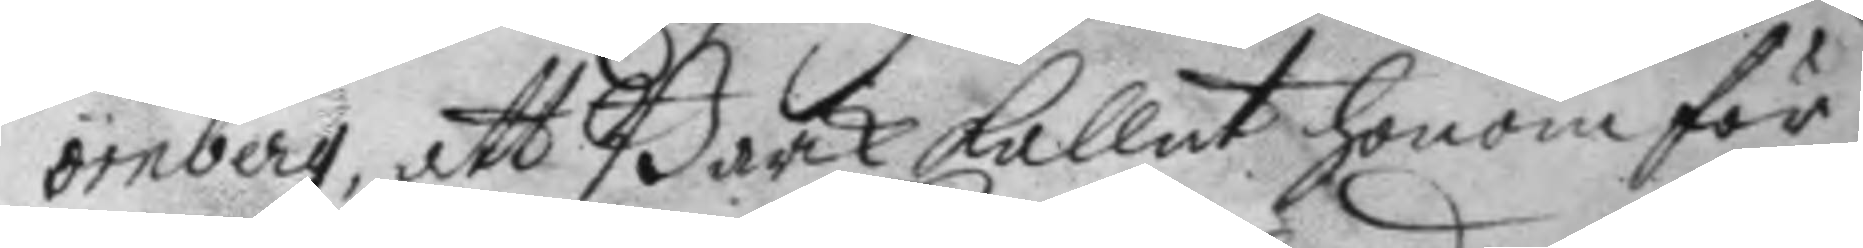örnberg, att Barck kallat honom för
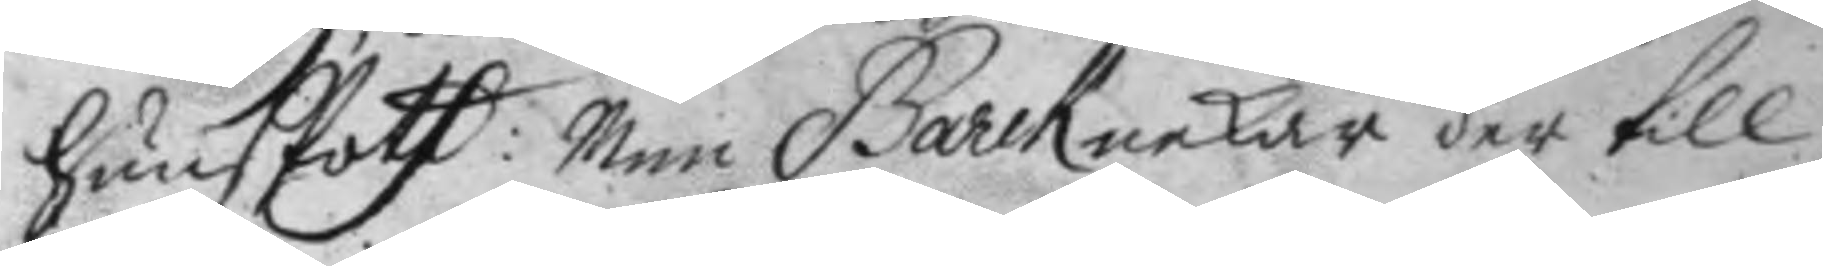hunsfott: men Barck nekade der till
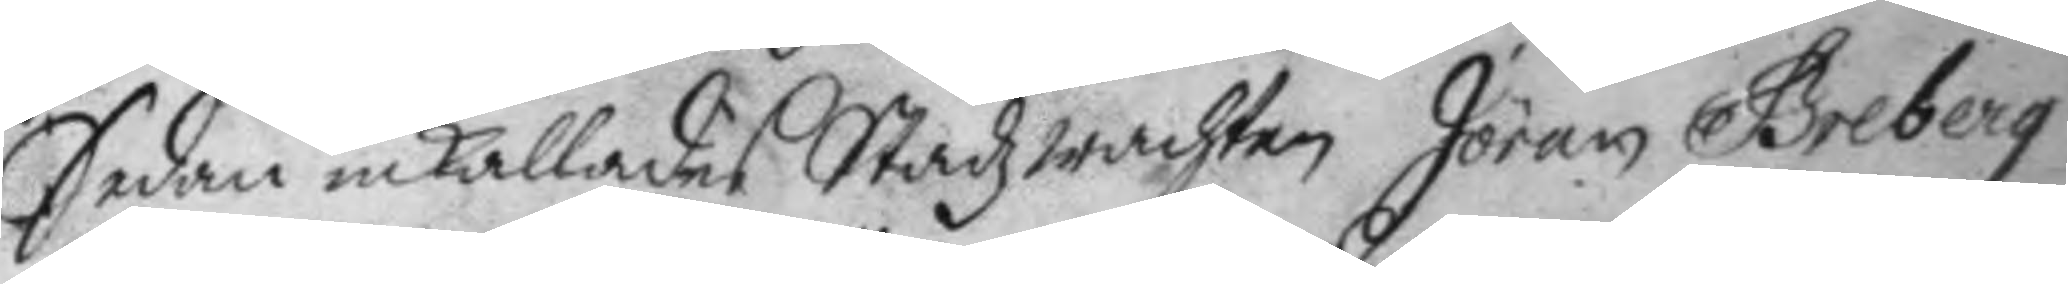Sedan inkallades Stadzwachten Jöran Greberg
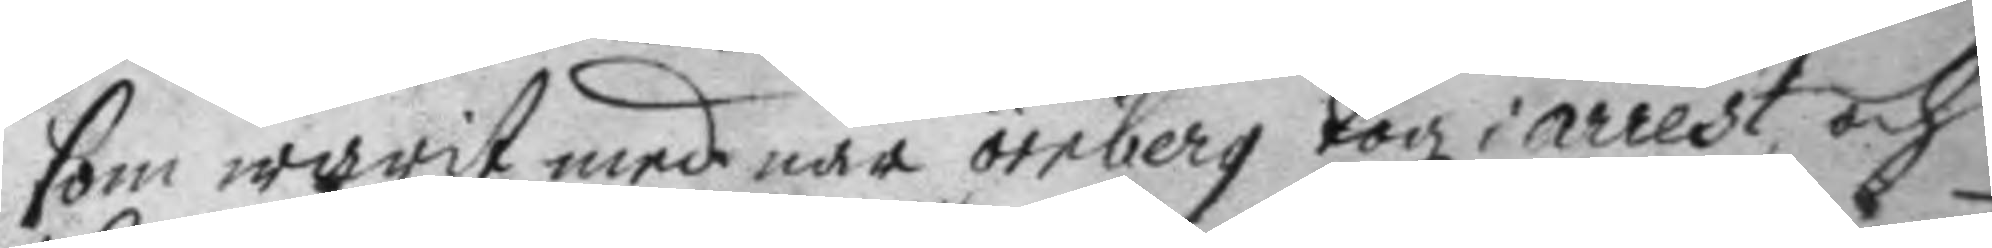som warit med när örnberg togz i arrest och
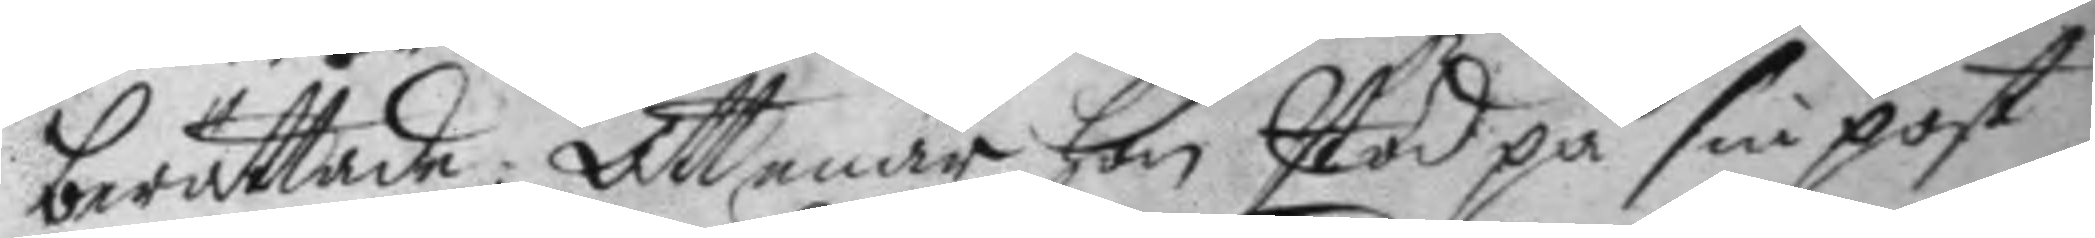berättade: Att enär han stod på sin post
